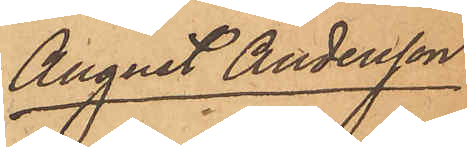August Andersson
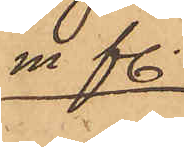m. fl.
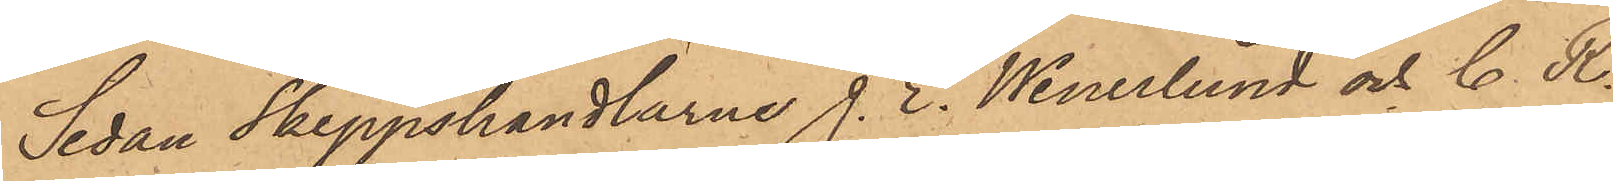Sedan Skeppshandlarne J. E. Wenerlund och C. K.
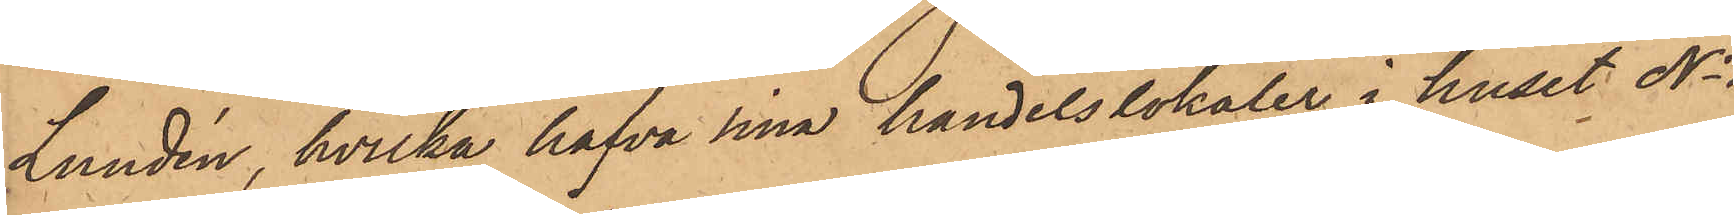Lundén, hvilka hafva sina handelslokaler i huset No 1
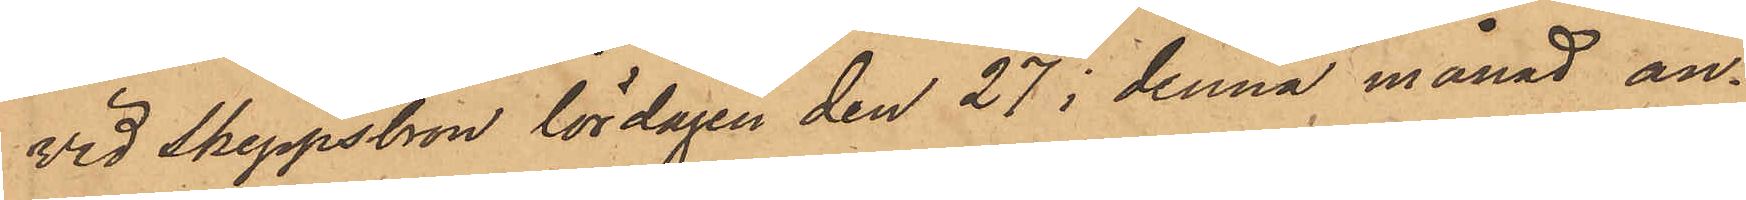vid Skeppsbron lördagen den 27 i denna månad an¬
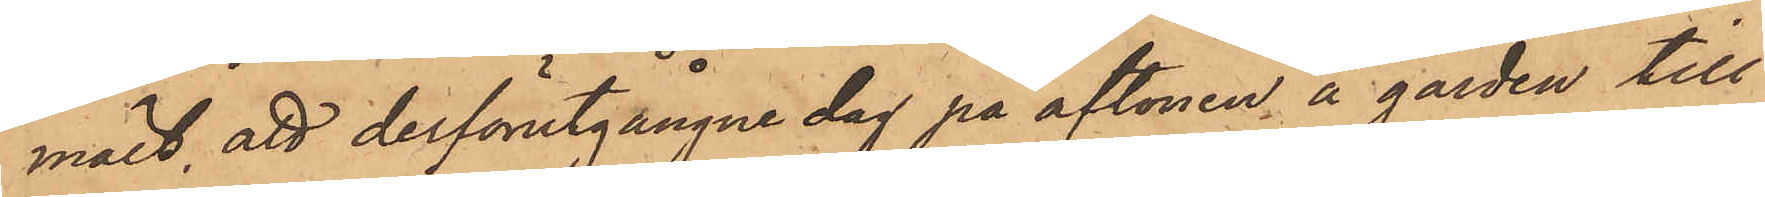mält, att derförutgångne dag på aftonen å gården till
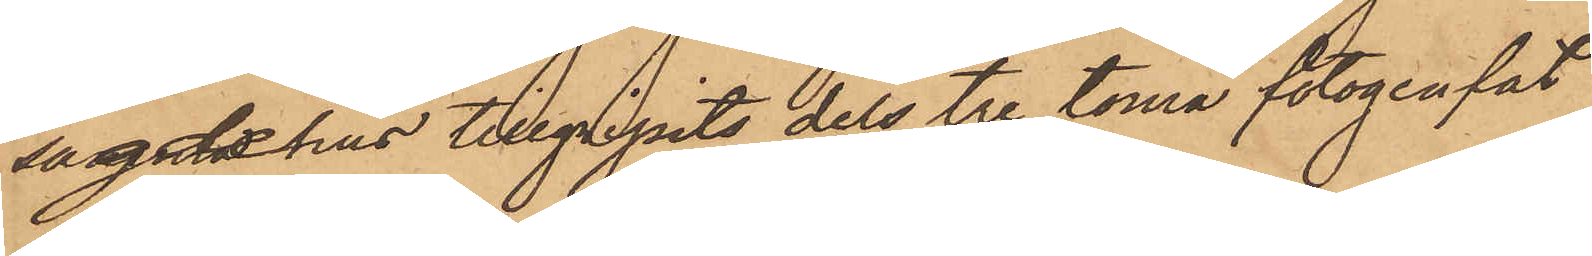sagde hus tillgripits dels tre toma fotogenfat
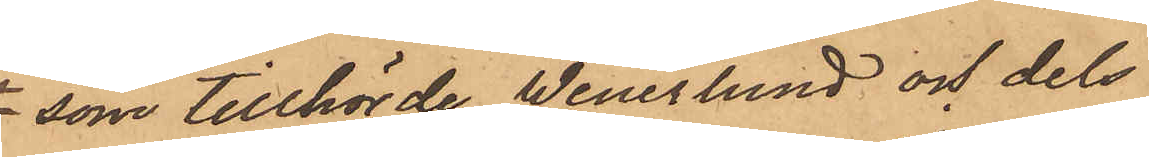som tillhörde Wenerlund och dels
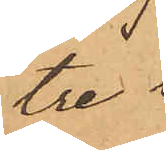tre
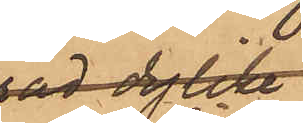dylika
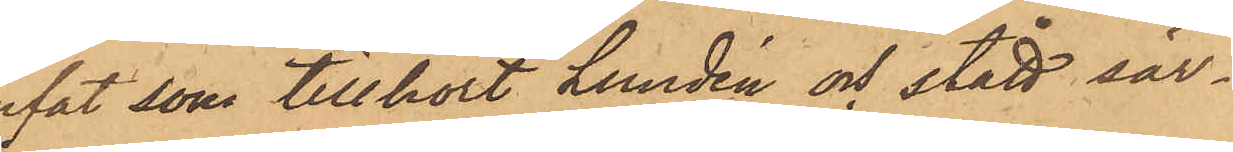fat, som tillhört Lundén och stått sär¬
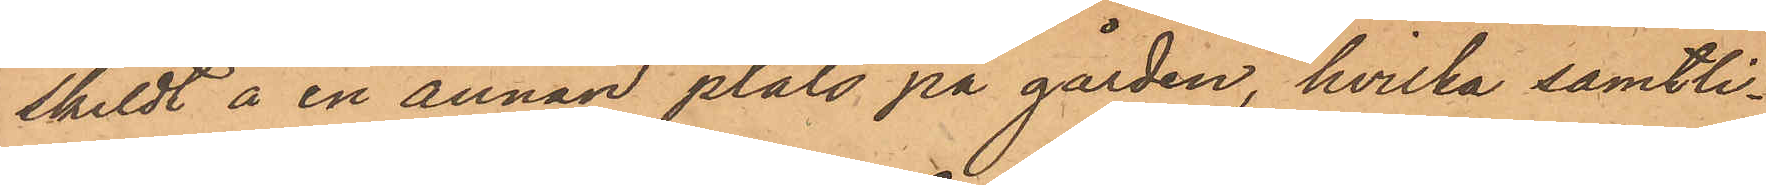skildt å en annan plats på gården, hvilka samtli¬
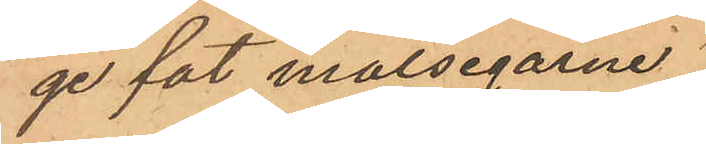ge fat målsegarne
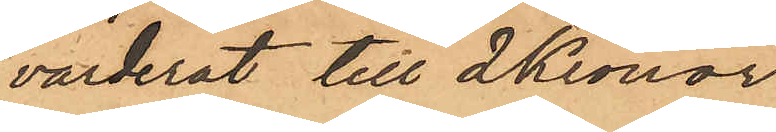värderat till 2 Kronor
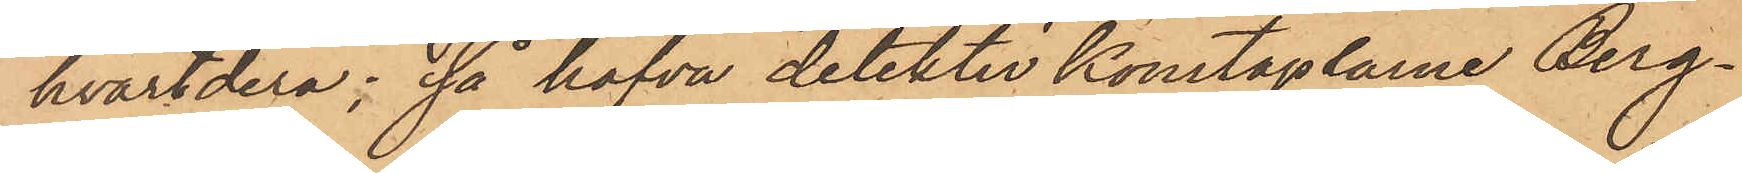hvartdera; så hafva detektivkonstaplarne Berg¬
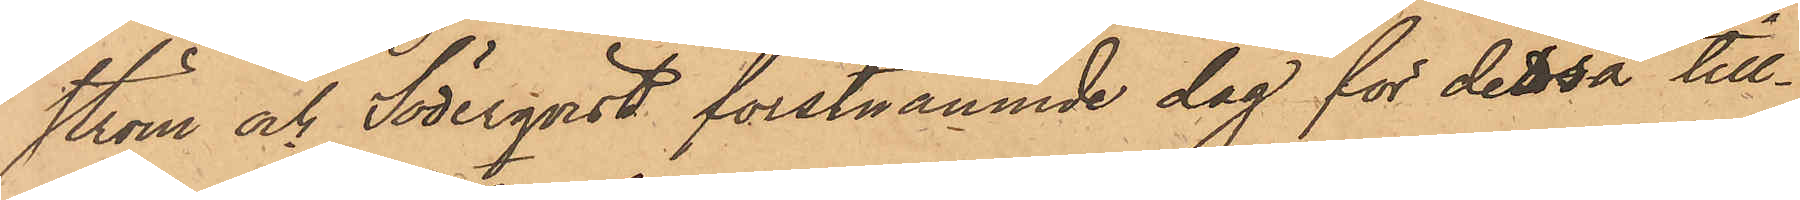ström och Söderqvist förstnämnde dag för dessa till¬
